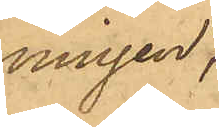ningen,
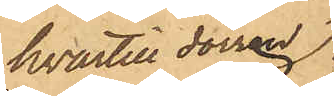hvartill dörren
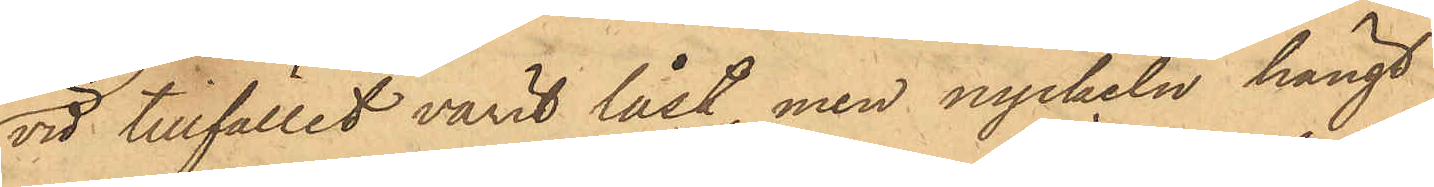vid tillfället varit låst, men nyckeln hängt
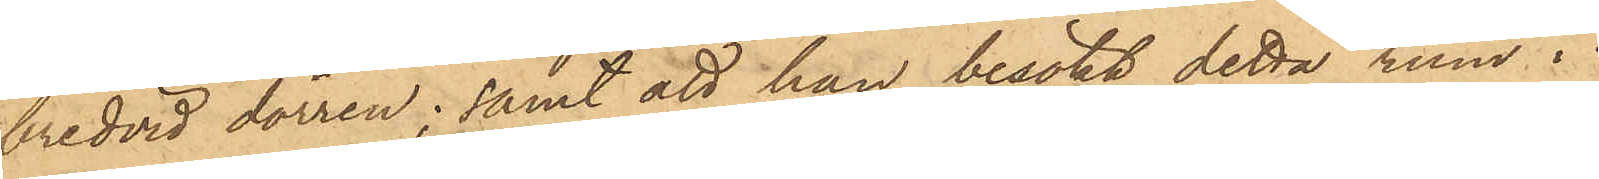bredvid dörren; samt att han besökt detta rum i
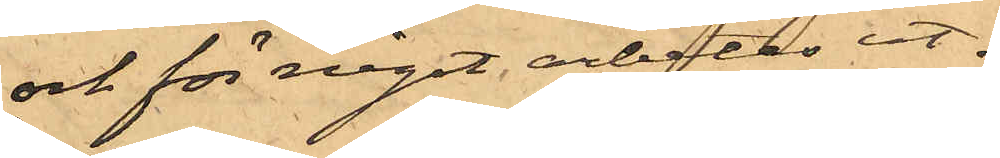och för något arbetes ut¬
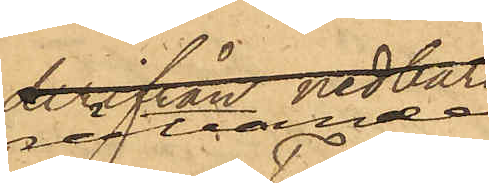rättande
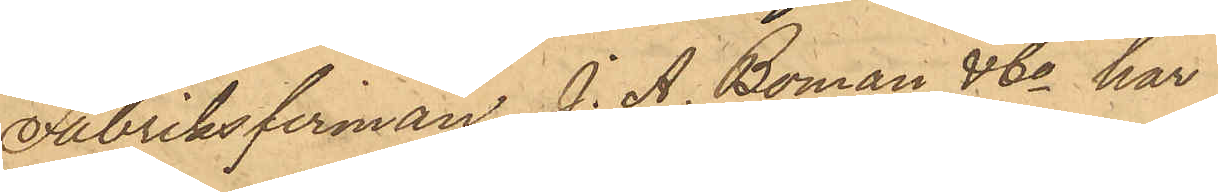Fabriksfirman J. A. Boman & Co har
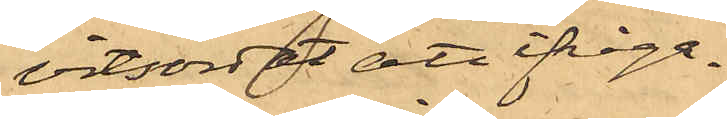vitsordat att ifråga¬
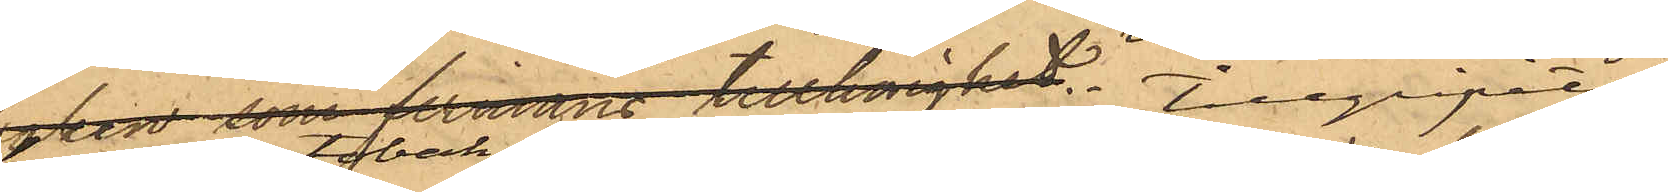komne tobak från densamma tillgripits
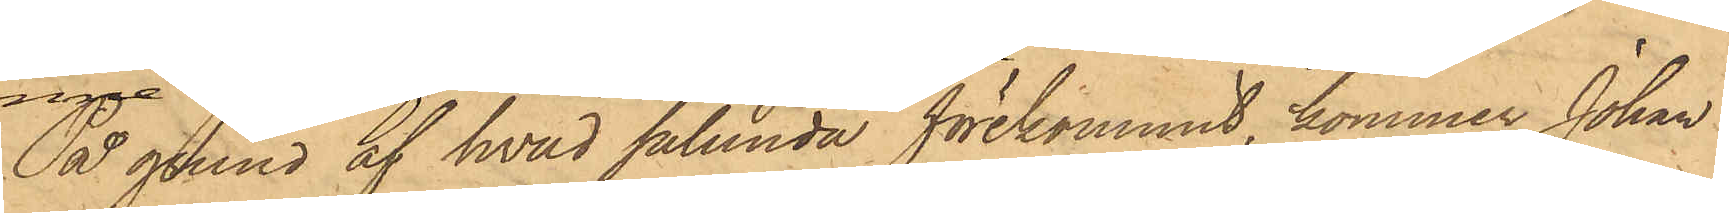På grund af hvad sålunda förekommit, kommer Johan
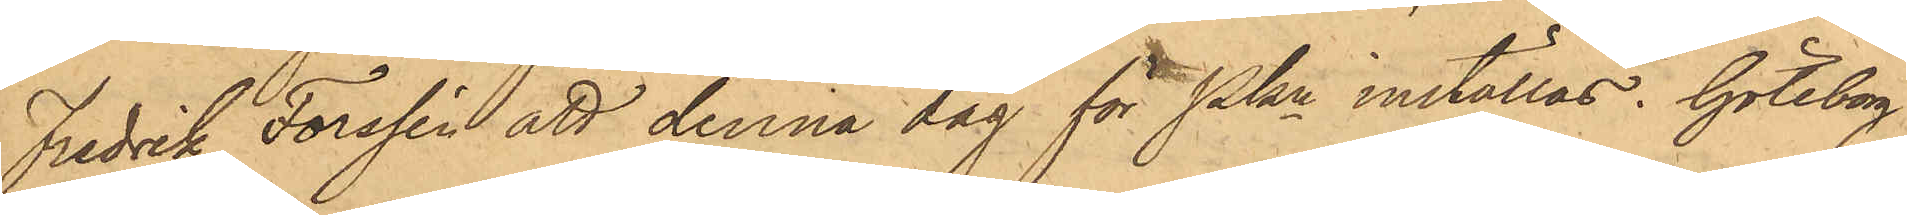Fredrik Forssén att denna dag för Pkn inställas. Göteborg
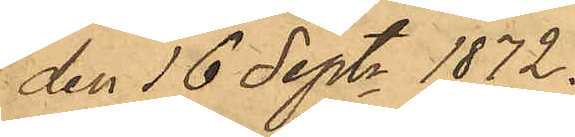den 16 Septr 1872.
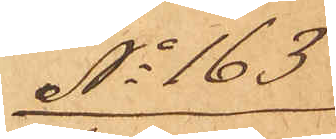No 163
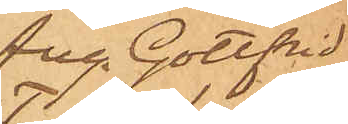Aug. Gottfrid
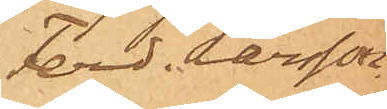Ferd. Larsson
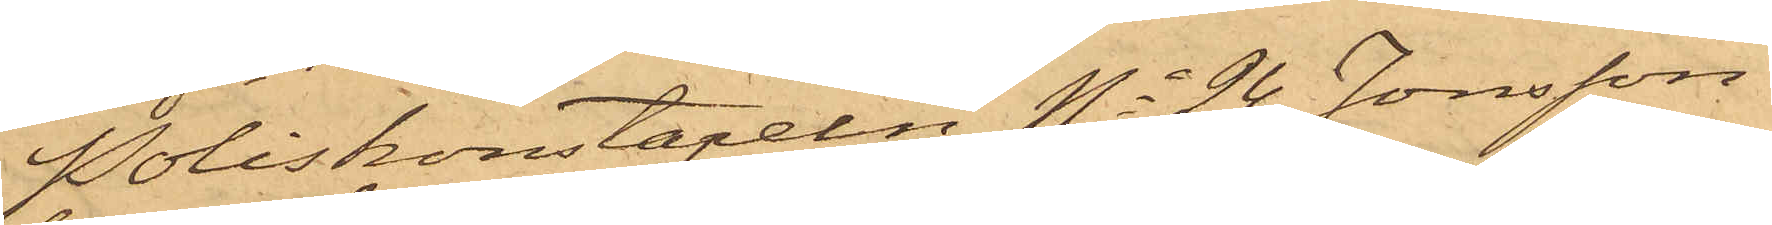Poliskonstapeln No 24 Jonsson
